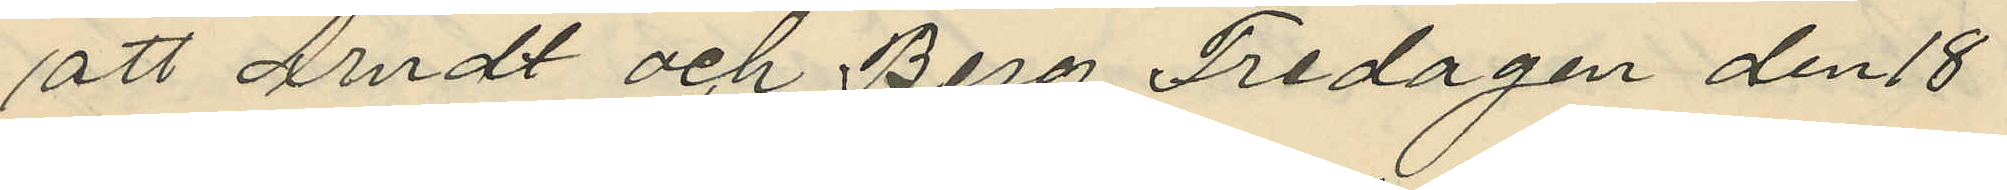att Andt och Berg Fredagen den 18
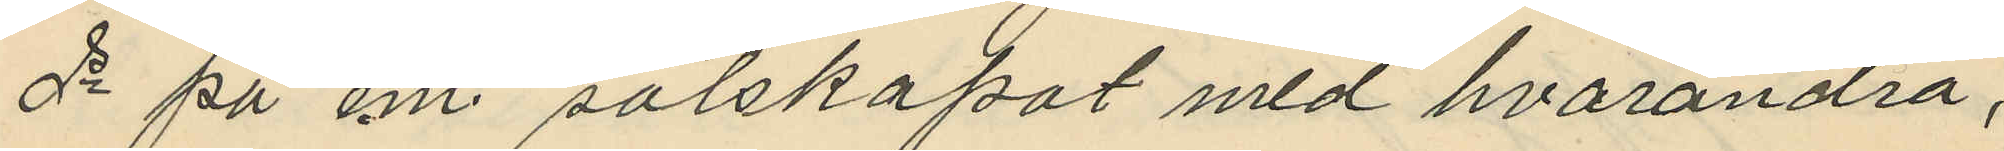de på em. sälskapat med hvarandra,
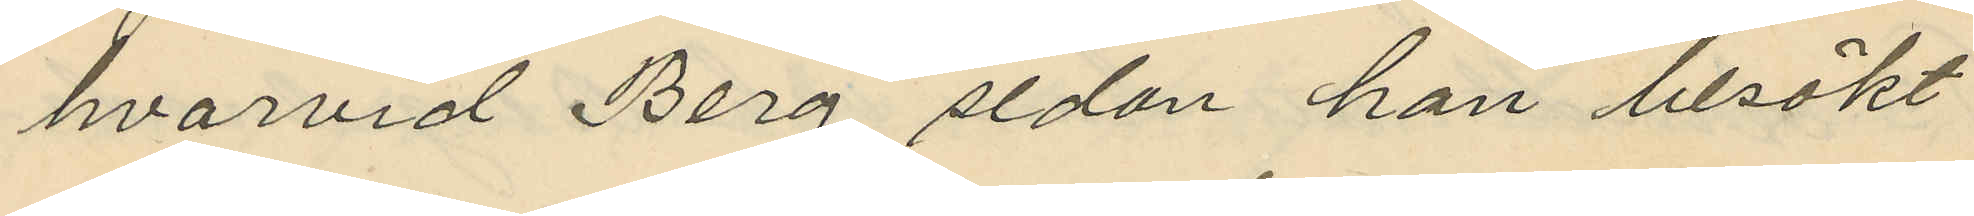hvarvid Berg sedan han besökt
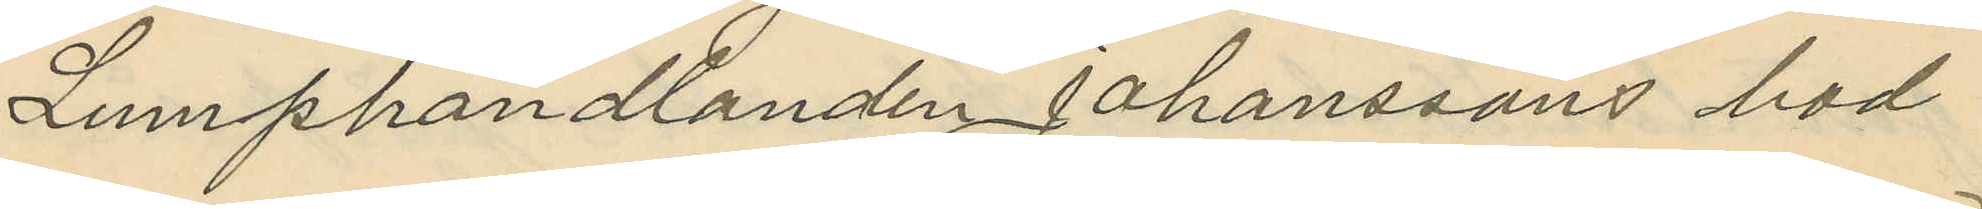Lumphandlanden Johanssons bod
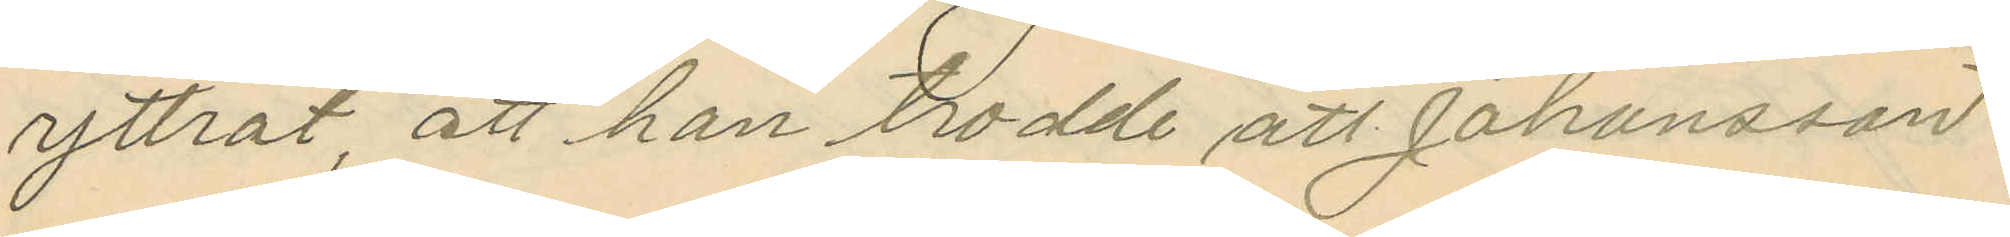yttrat, att han trodde att Johansson
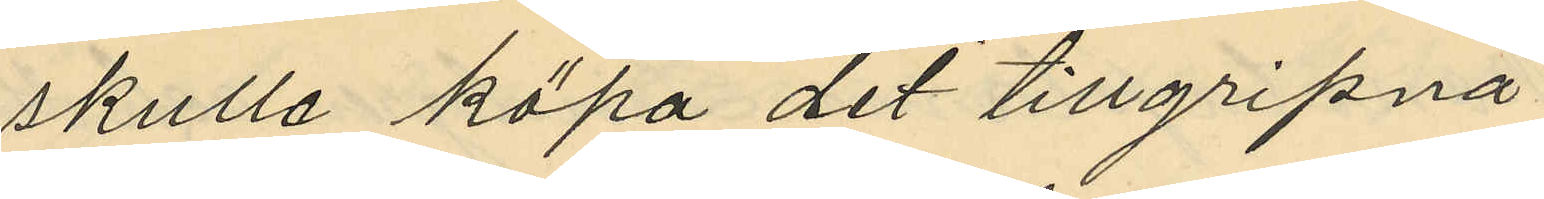skulle köpa det tillgripna
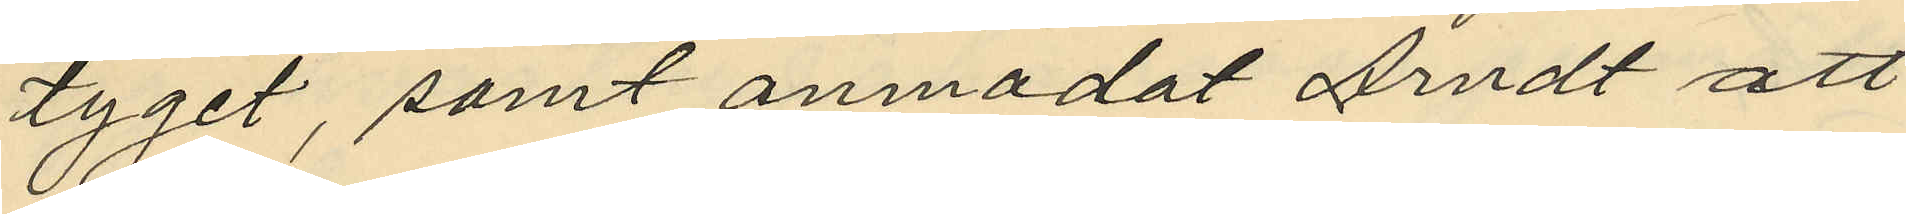tyget, samt anmodat Arndt att
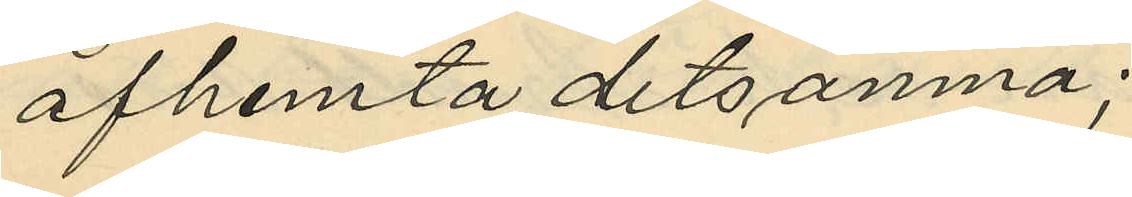afhemta detsamna;
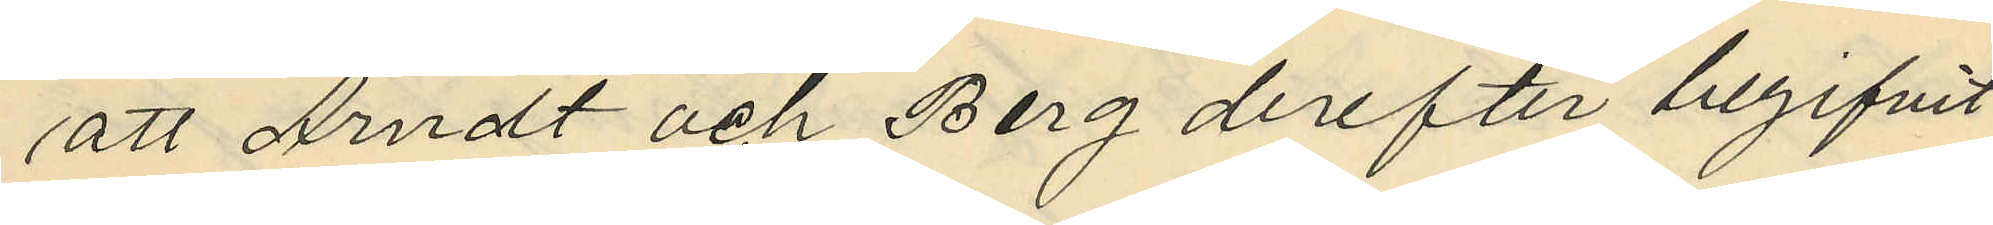att Arndt och Berg derefter begifvit
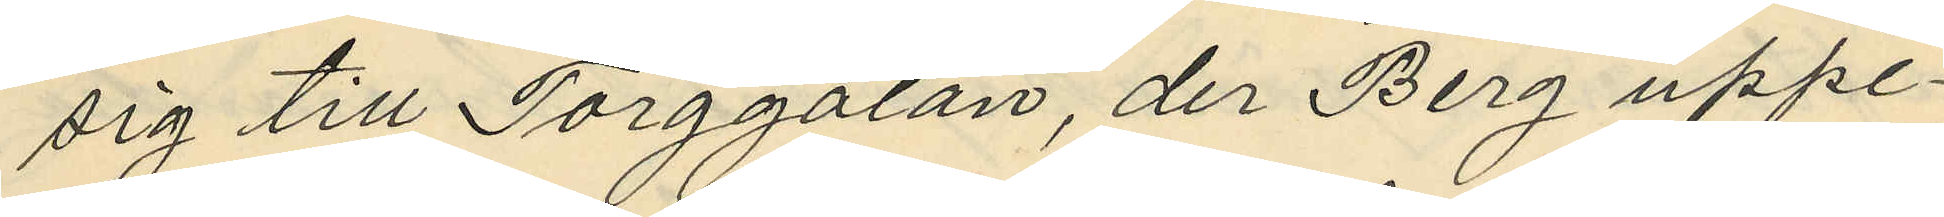sig till Torggatan, der Berg uppe¬
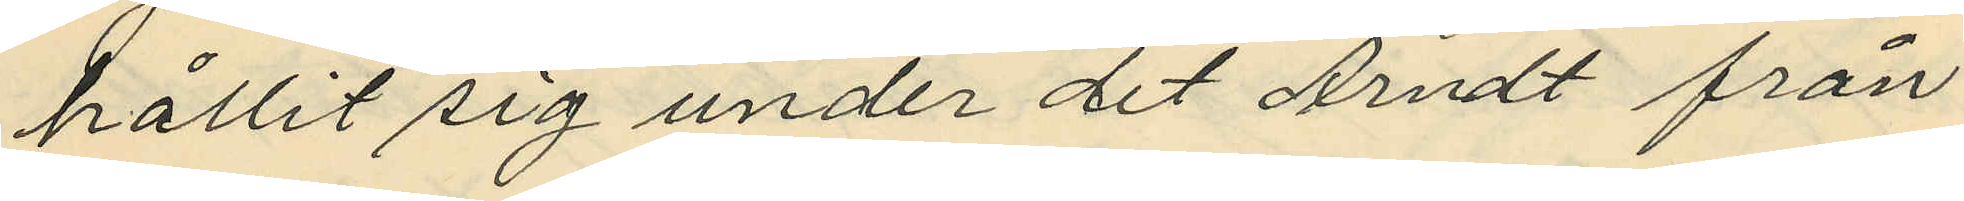hållit sig under det Arndt från
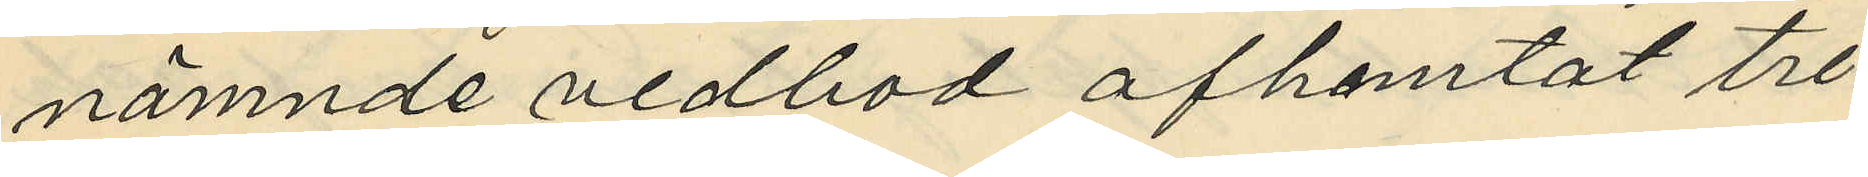nämnde vedbod afhemtat tre
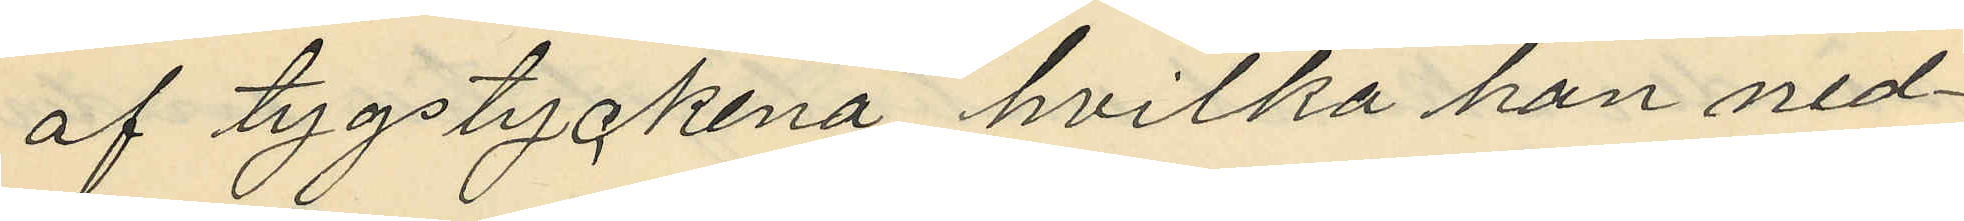af tygstyckena hvilka han ned¬
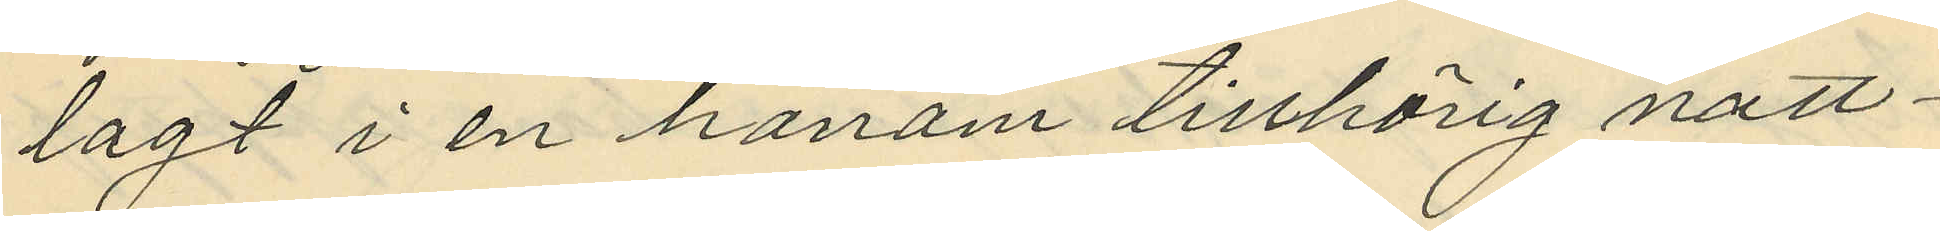lagt i en honom tillhörig natt¬
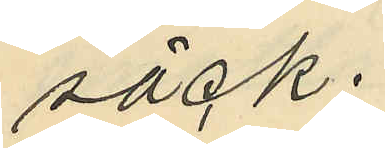säck.
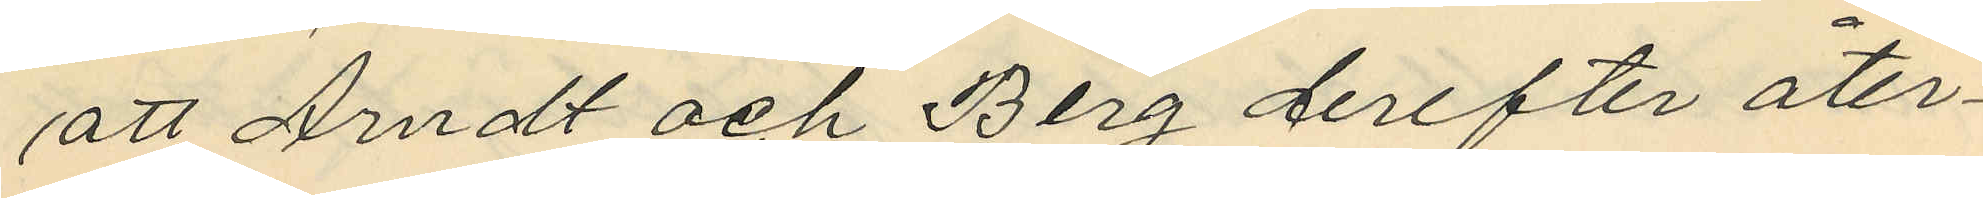att Arndt och Berg derefter åter¬
